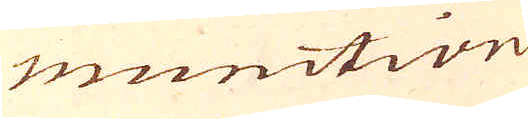munition
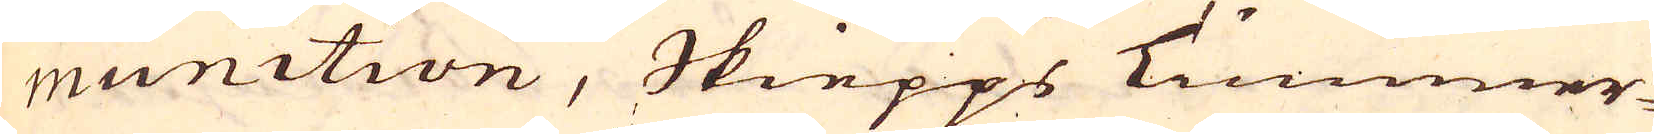munition, Skiepps Timmer-
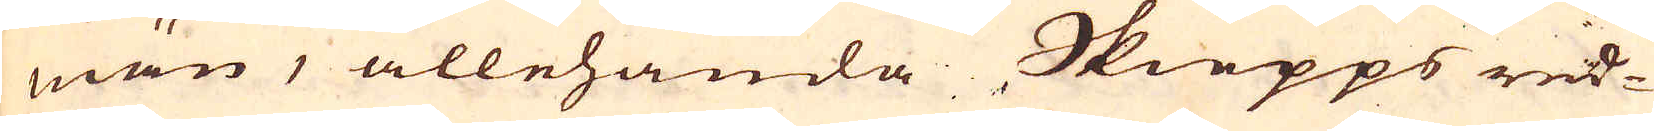män, allehanda Skiepps red-
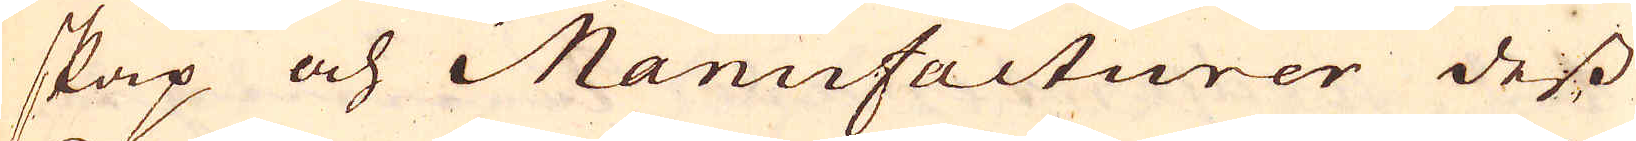skap och Manufacturer dess
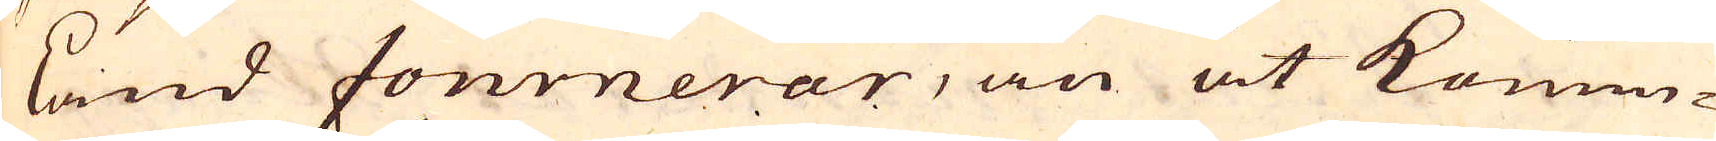land fournerar, än at Konun-
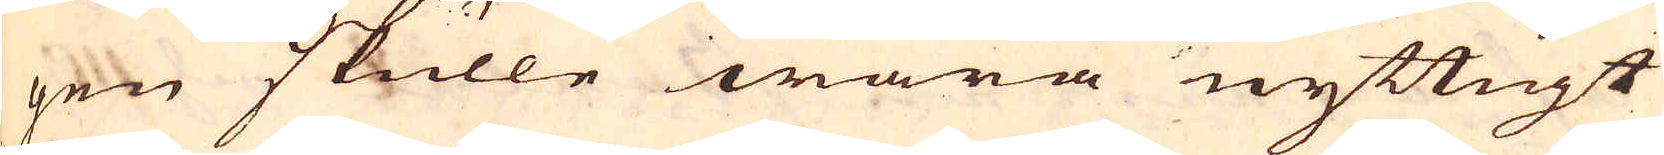gen skulle wara nyttigt
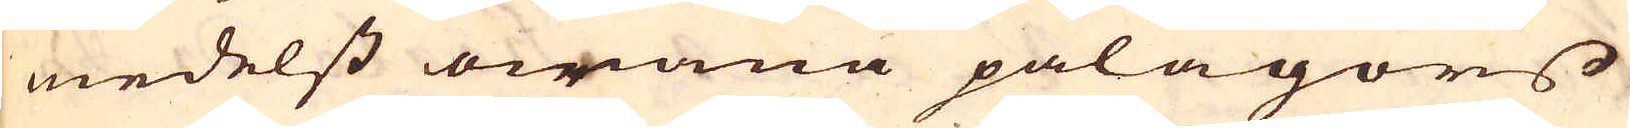medelst owana pålagors
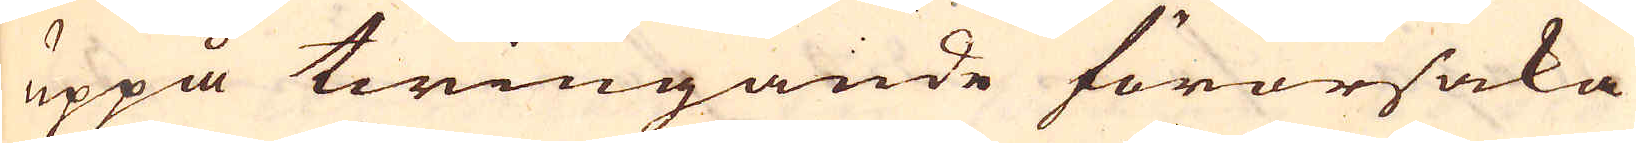uppå twingande förorsaka
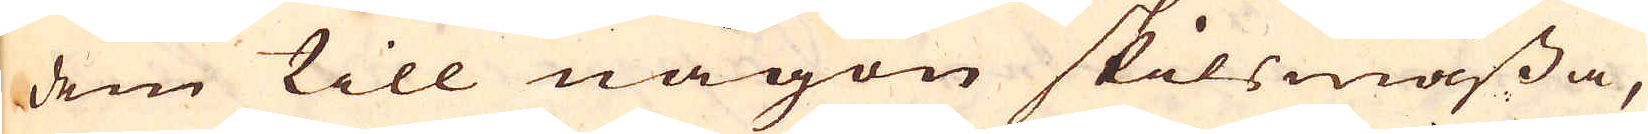dem till någon skilsmässa,
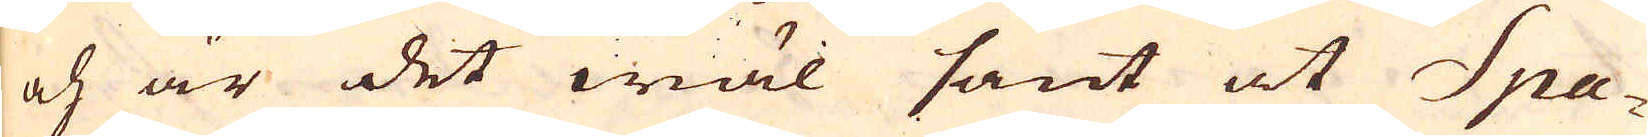och är det wäl sant at Spa-
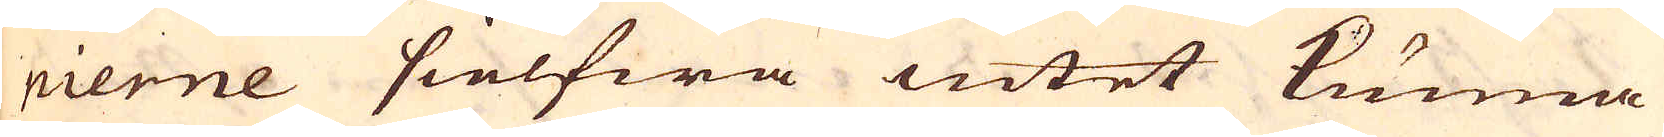nierne sielfwa intet kunna
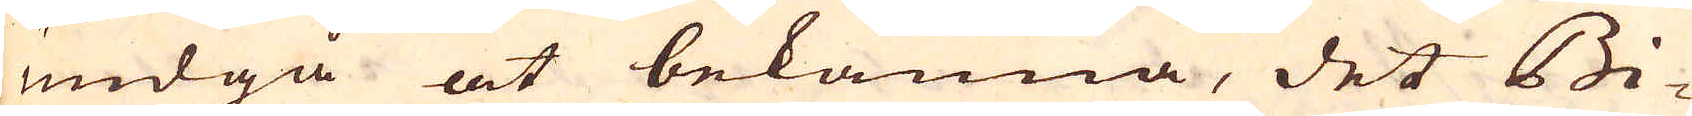undgå at bekänna, det Bi-
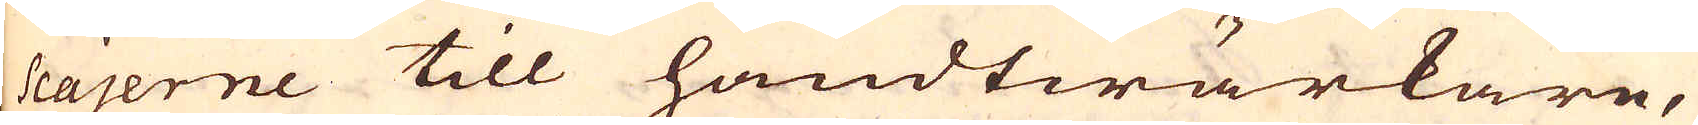scajerne till handtwärkare,
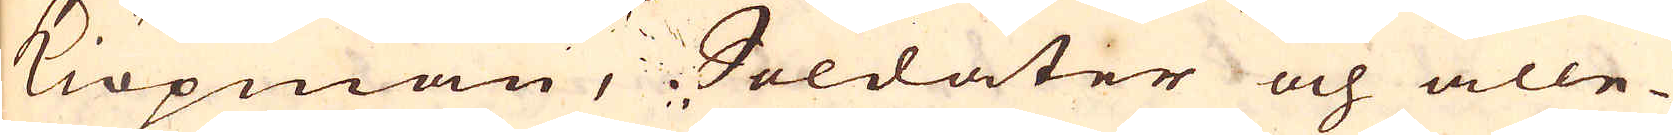Kiöpmän, Soldater och alle-
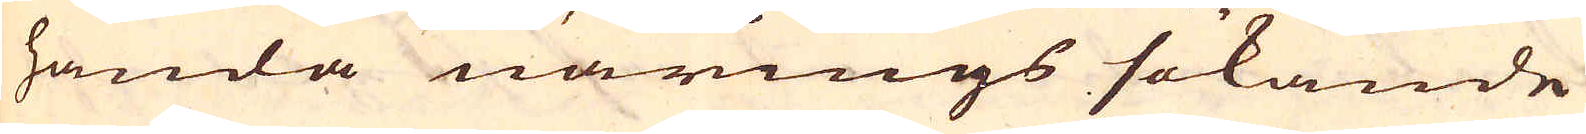handa närings sökande
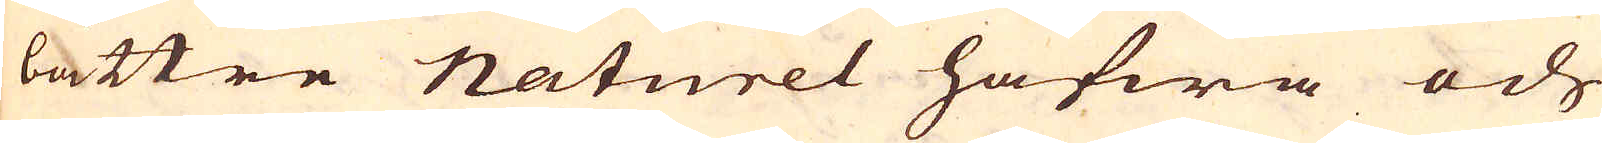bättre Naturel hafwa och
